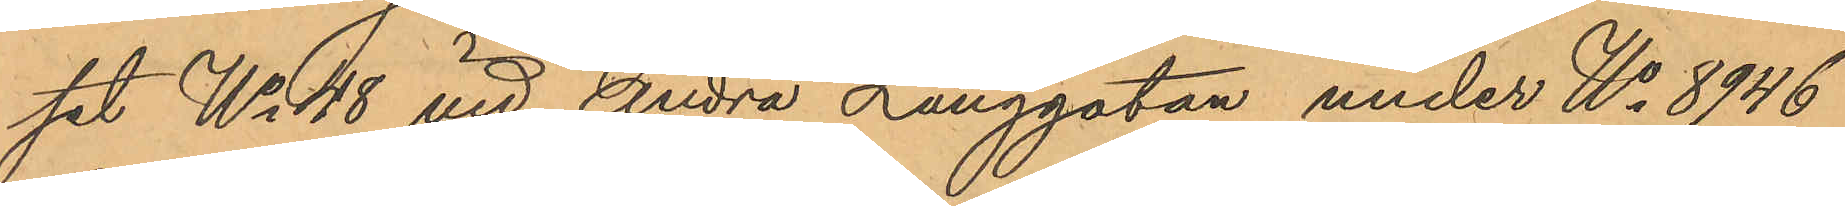set No 48 vid Andra Långgatan under No 8946
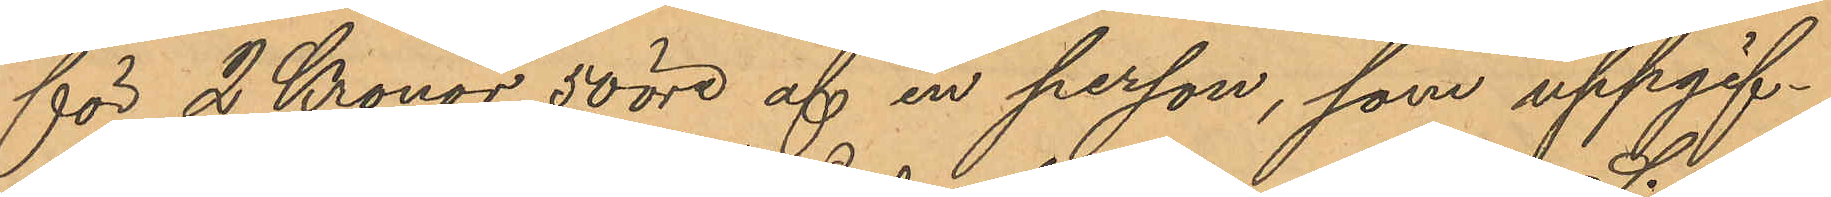för 2 Kronor 50 öre af en person, som uppgif¬
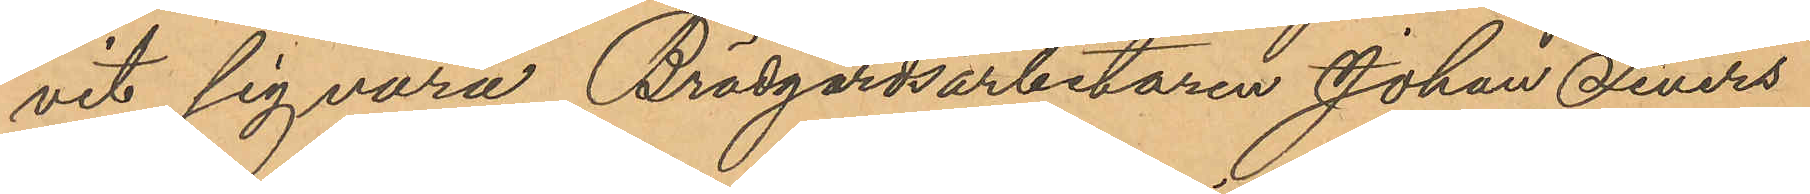vit sig vara Brädgårdsarbetaren Johan Sivers
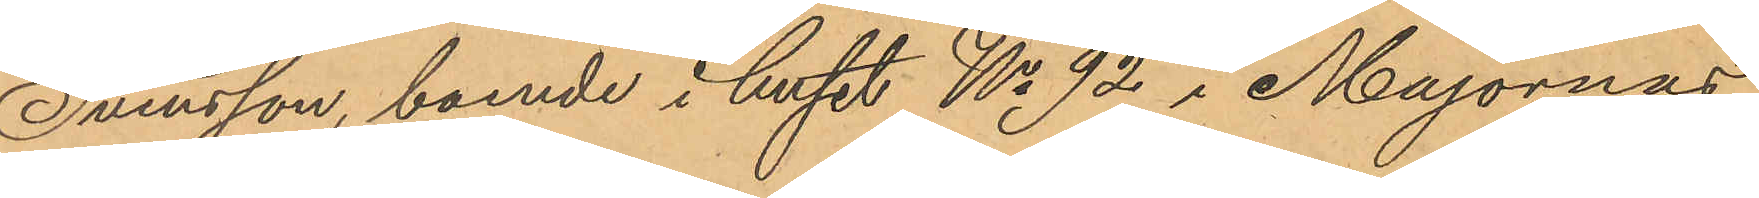Svensson, boende i huset No 92 i Majornas
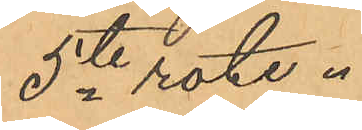5te rote.
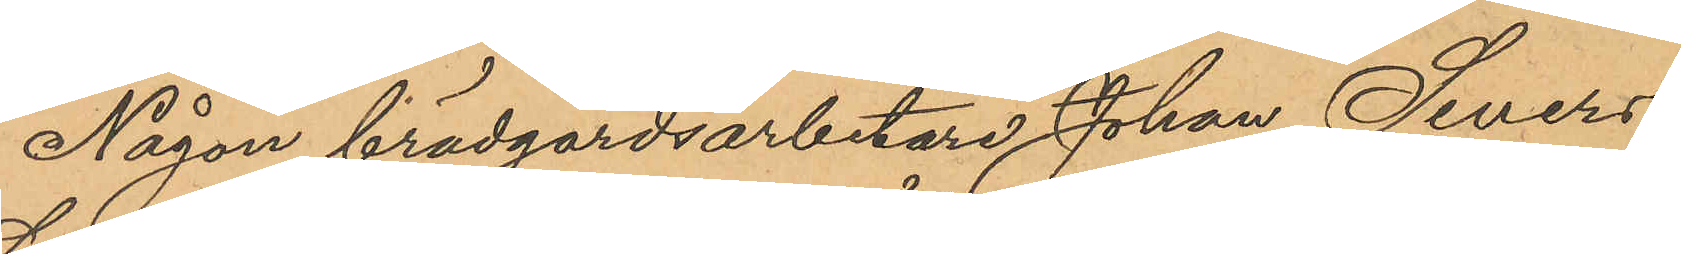Någon brädgårdsarbetare Johan Sivers
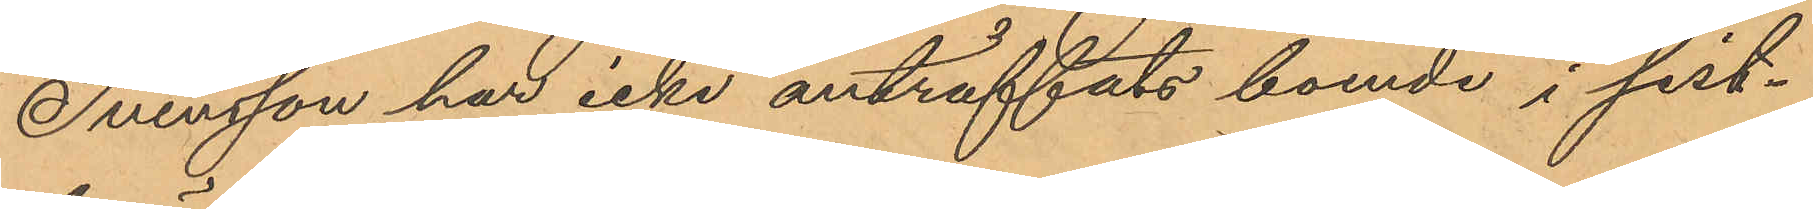Svensson har icke anträffats boende i sist¬
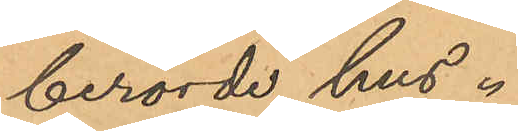berörde hus.
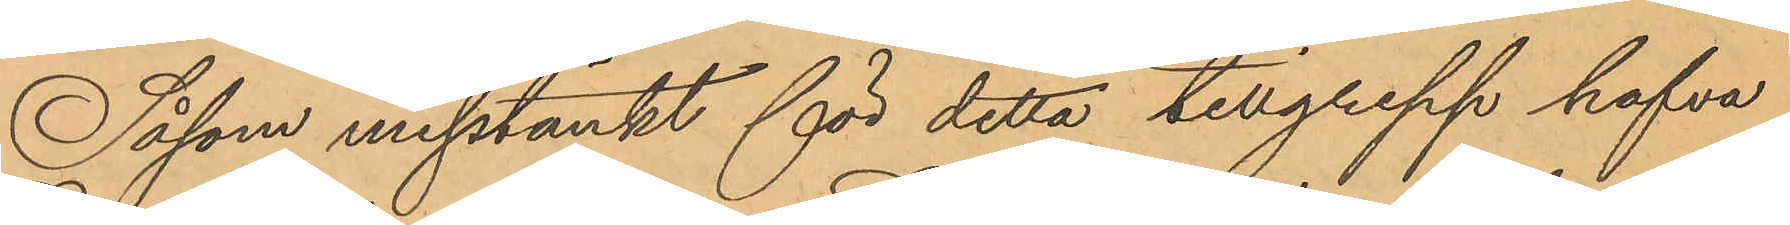Såsom misstänkt för detta tillgrepp hafva
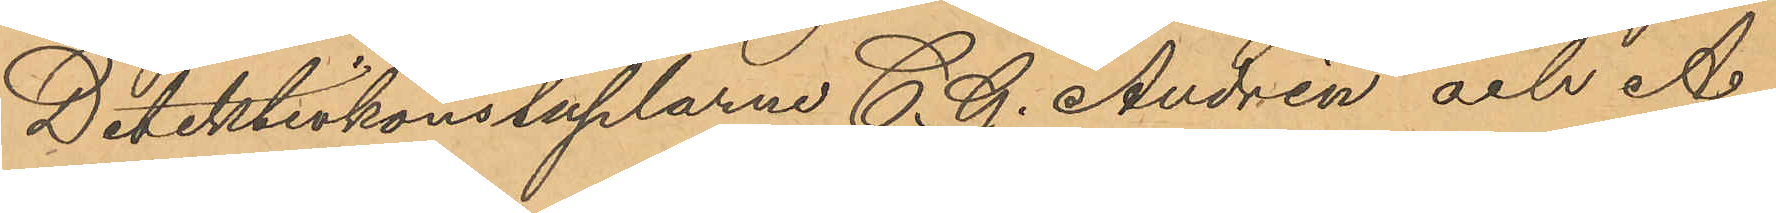Detektivkonstaplarne C. G. Andrén och A.
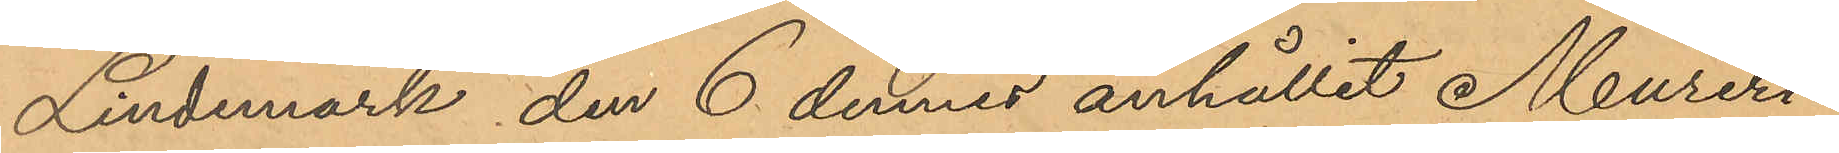Lindemark den 6 dennes anhållit Mureri¬
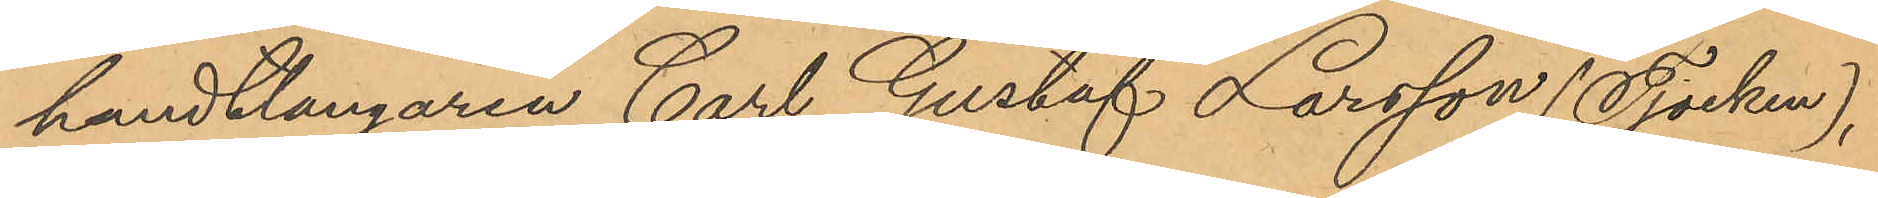handtlangaren Carl Gustaf Larsson (Tjocken),
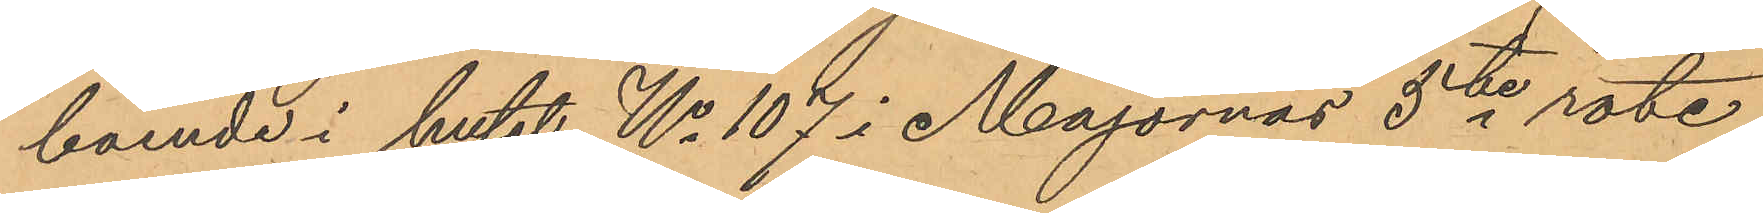boende i huset No 107 i Majornas 5te rote,
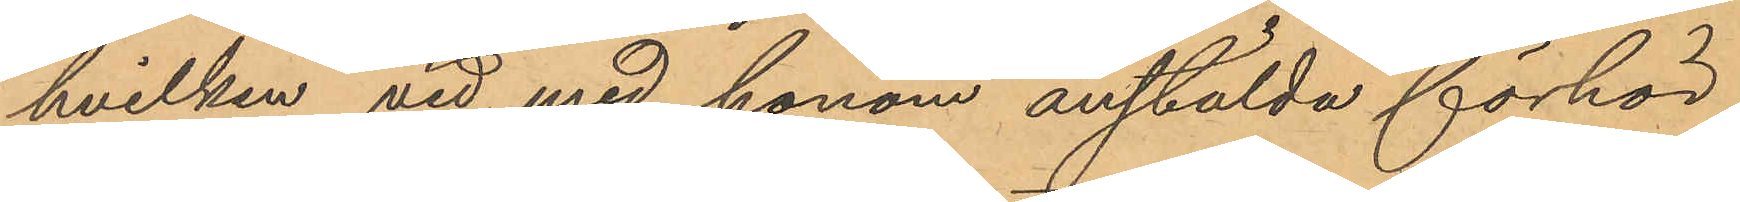hvilken vid med honom anstälda förhör
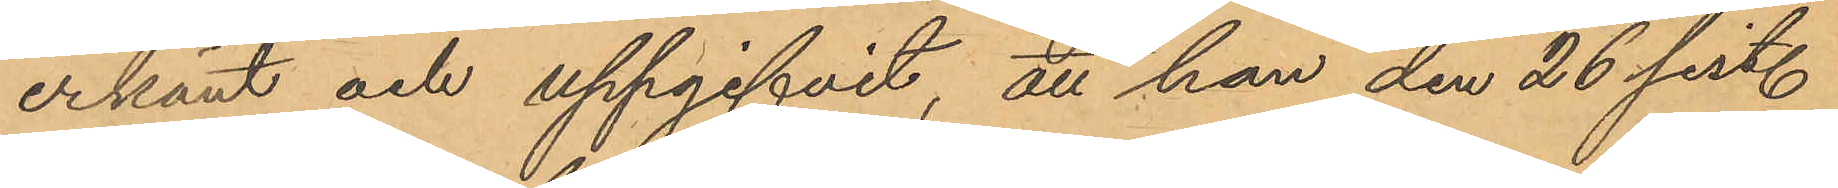erkänt och uppgifvit, att han den 26 sist.
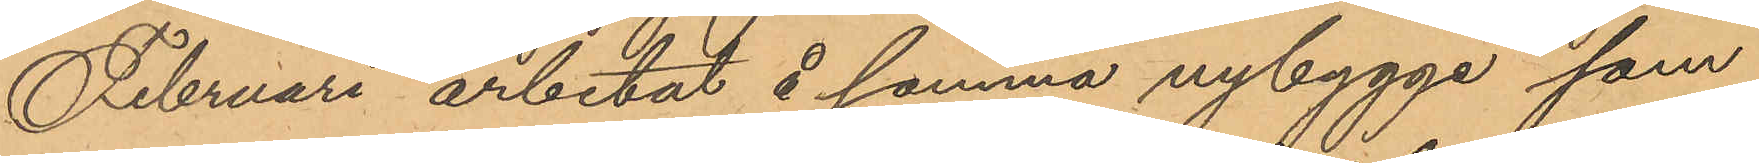Februari arbetat å samma nybygge som
